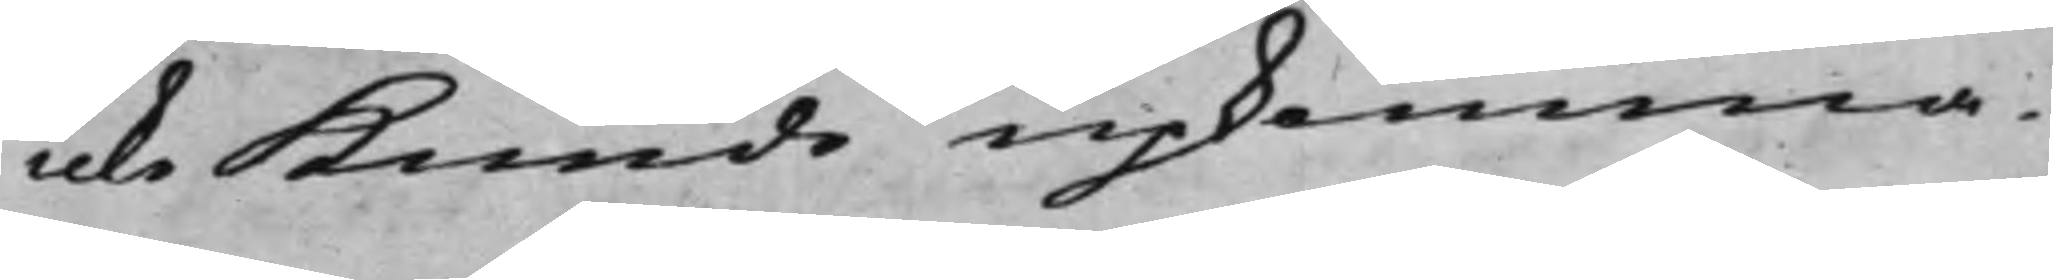icke Kunde upkomma.
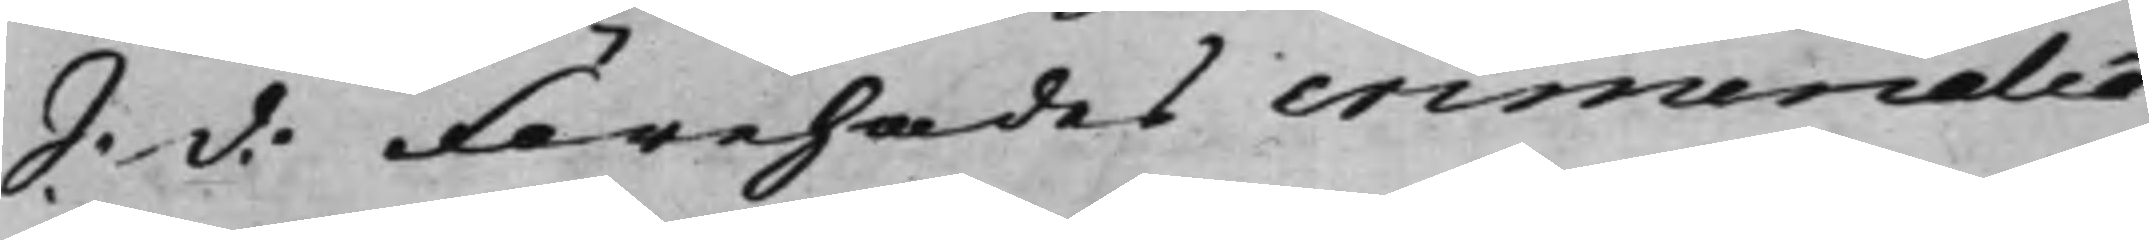S: d: Förehades criminalia
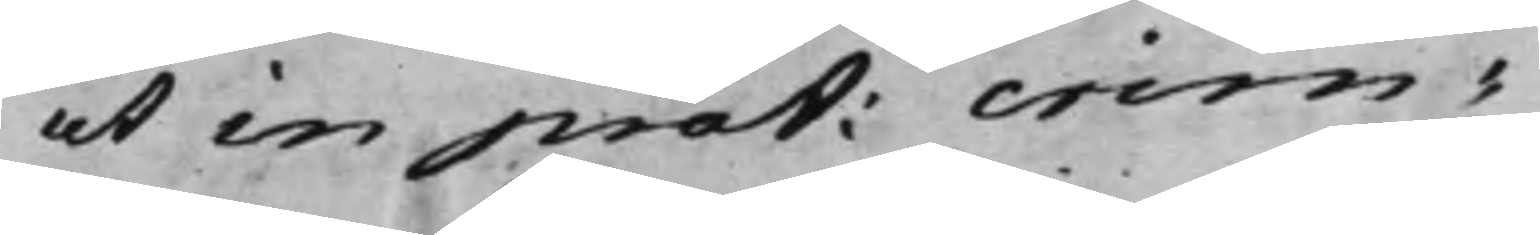ut in prot: crim:
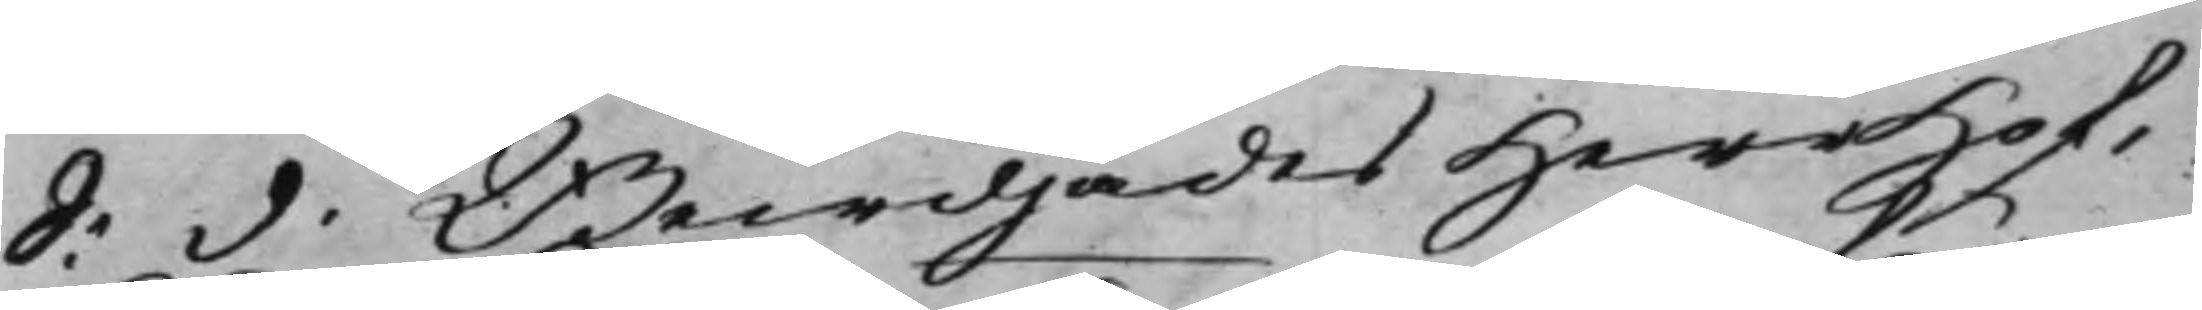S: d. Bewiljades Herr Hof¬
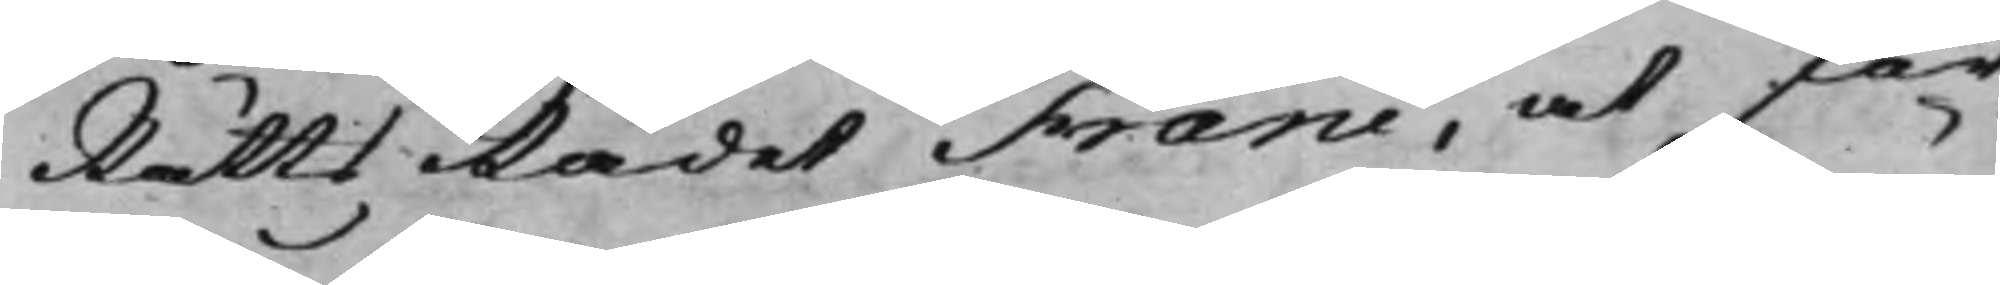RättsRådet Franc, at för
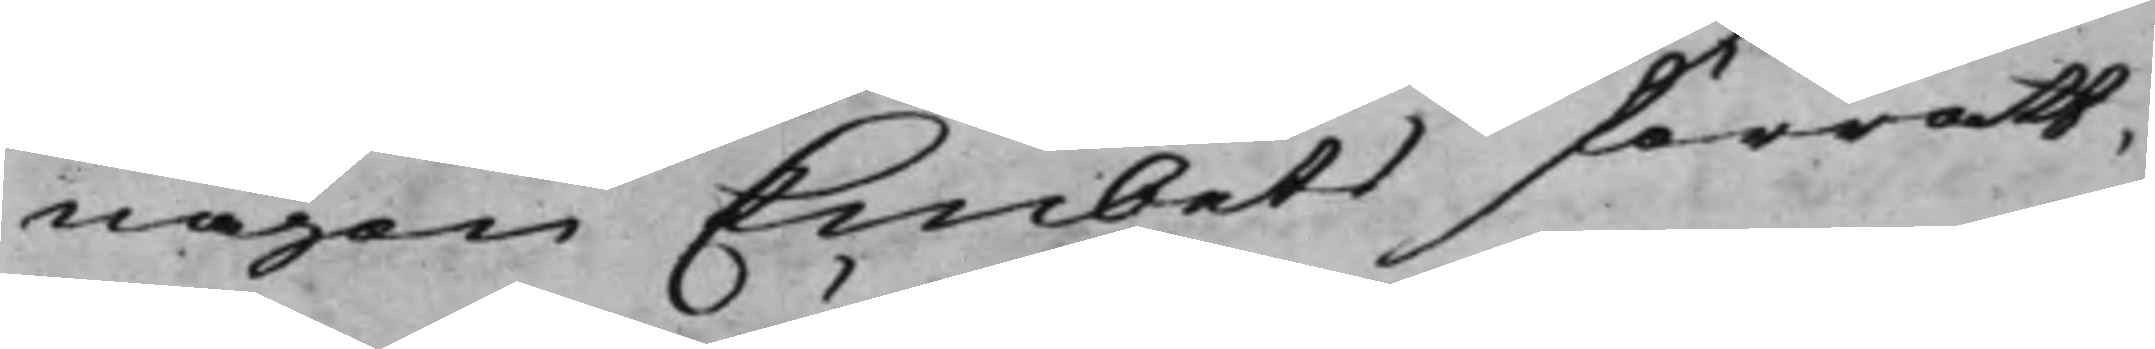någon Embets förrätt¬
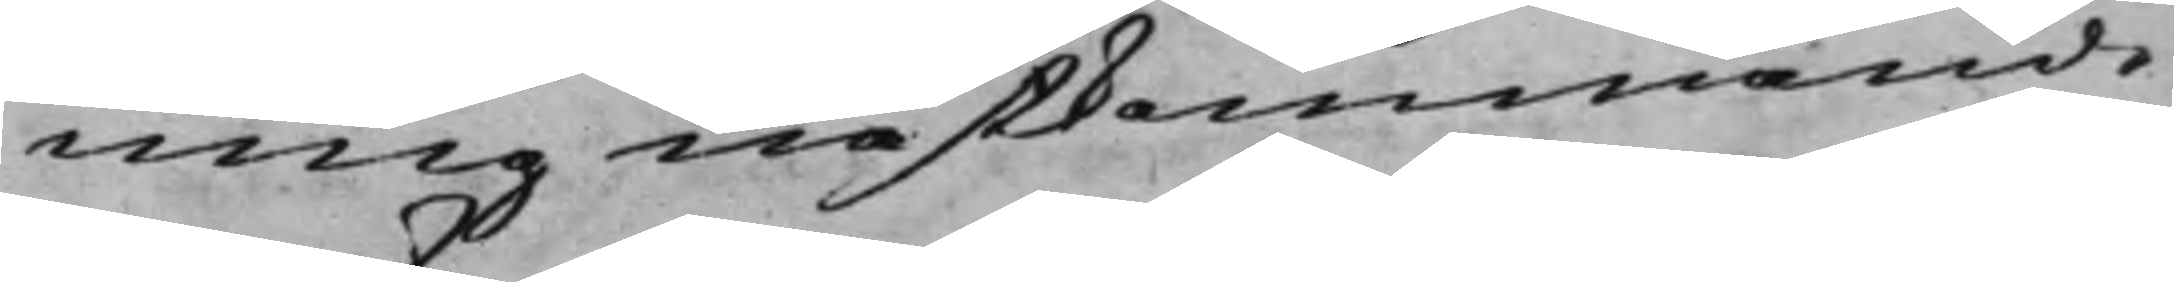ning nästkommande
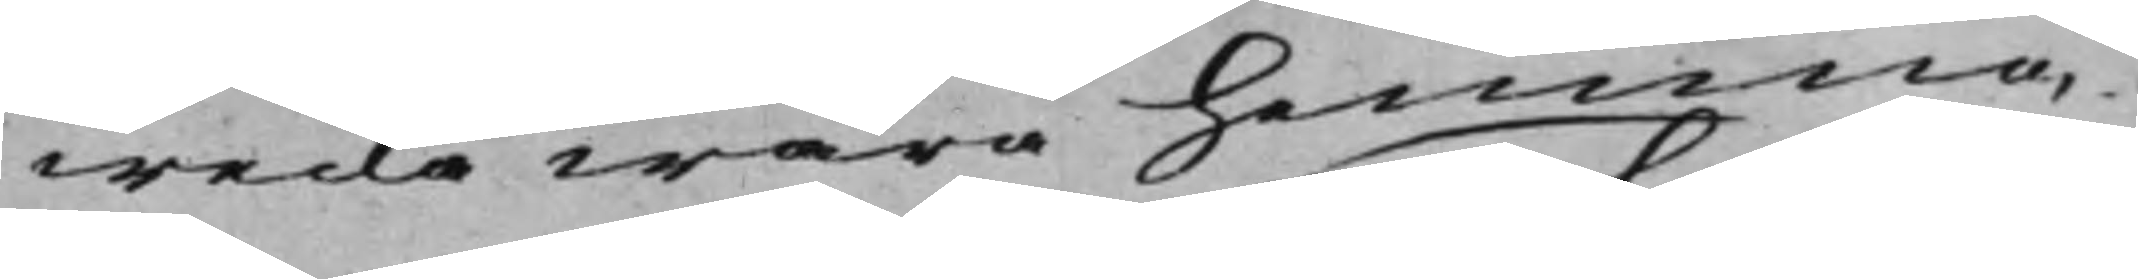wecka wara hemma.
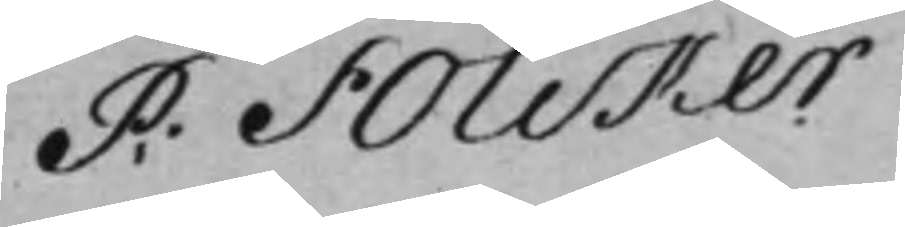P: Folcker
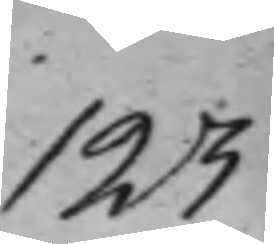123
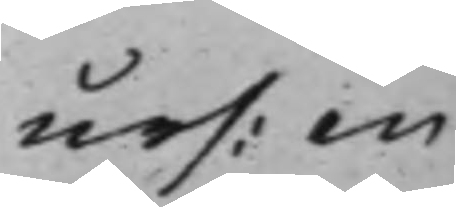urs: en
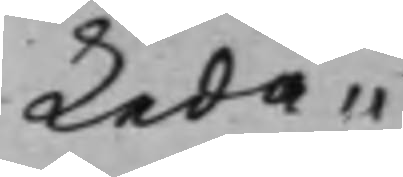Leda¬
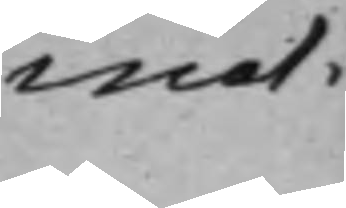mot.
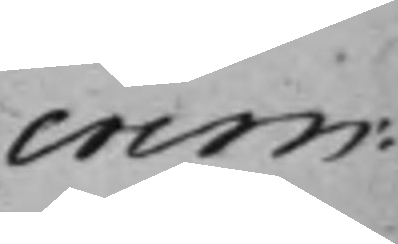crim:
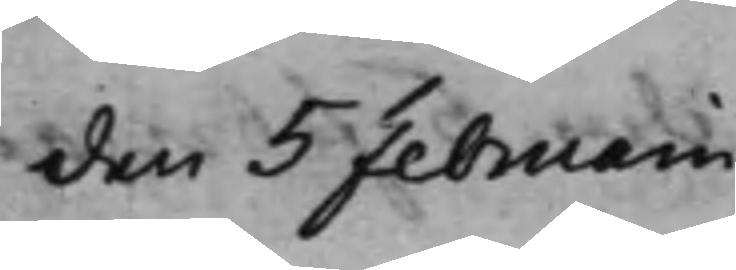den 5 Februarii
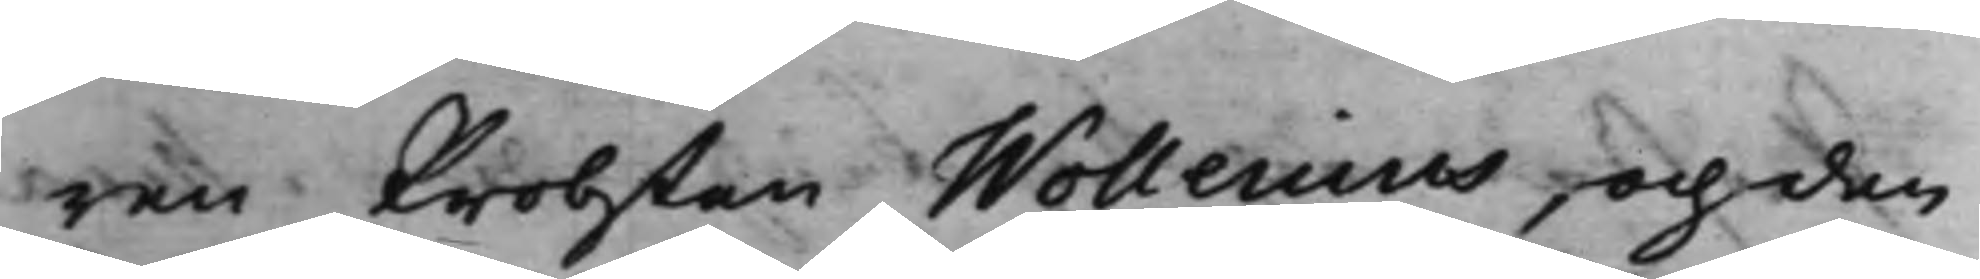ren Probsten Wollenius, och den
